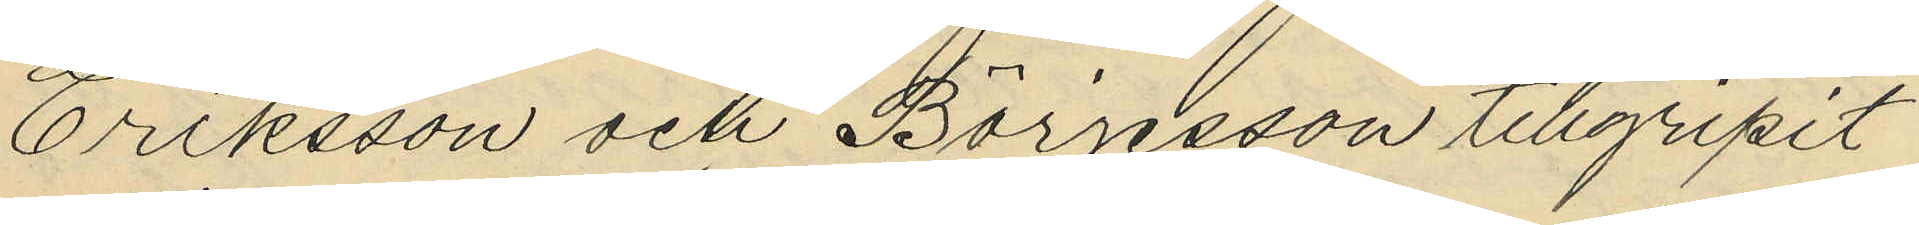Eriksson och Börjesson tillgripit
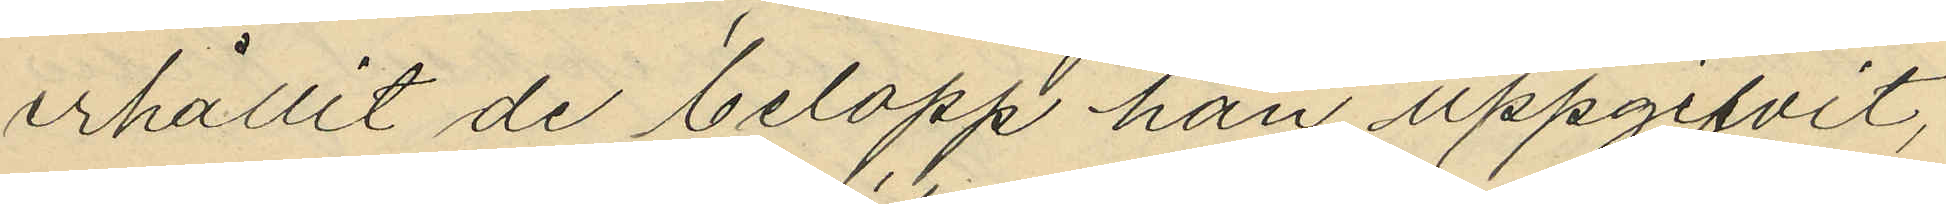erhållit de belopp han uppgifvit,
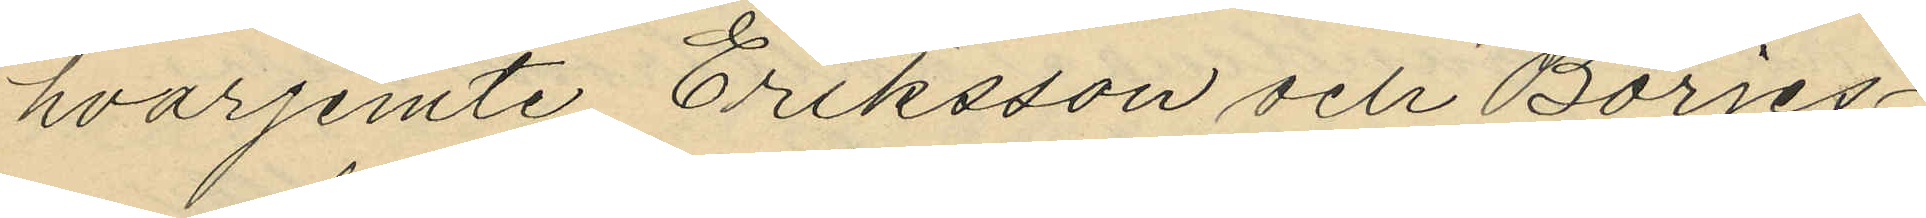hvarjemte Eriksson och Börjes¬
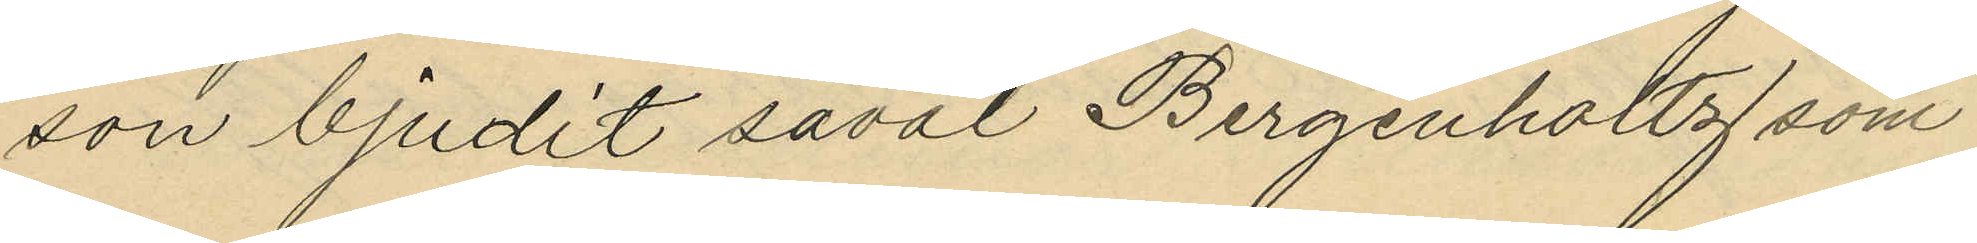son bjudit såväl Bergenholtz som
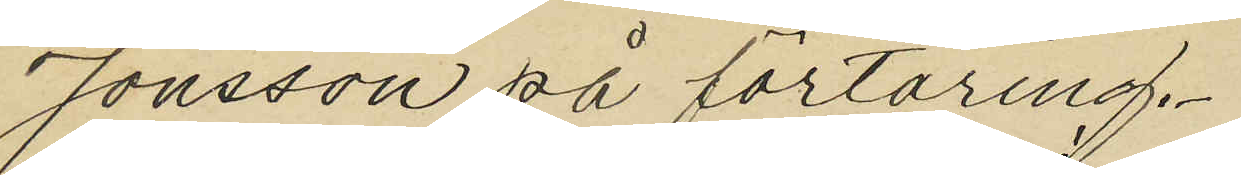Jonsson på förtäring.
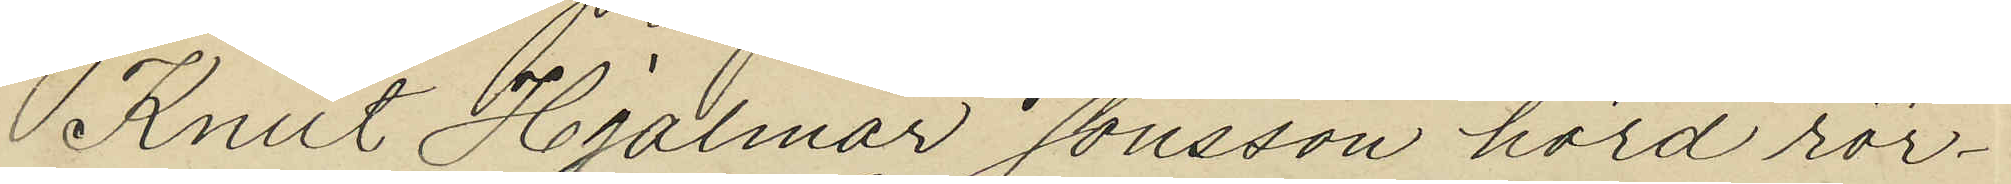Knut Hjalmar Jonsson hörd rör¬
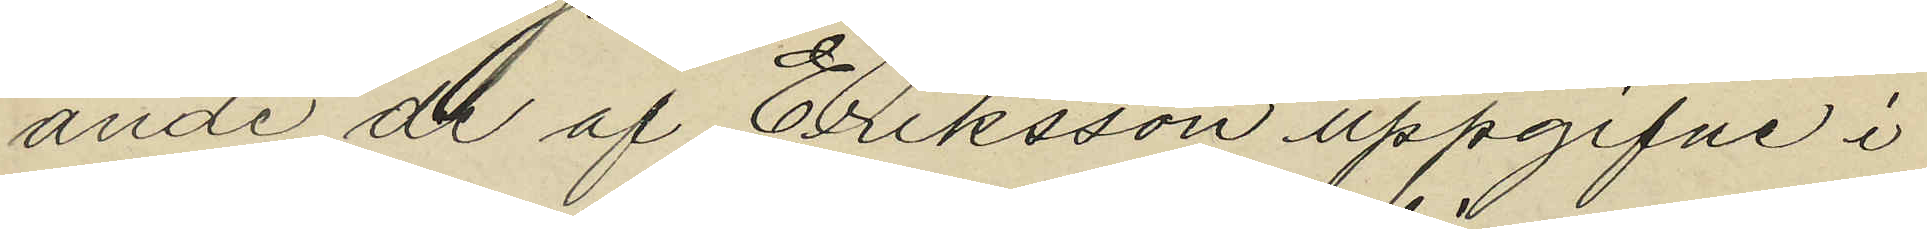ande de af Eriksson uppgifne i
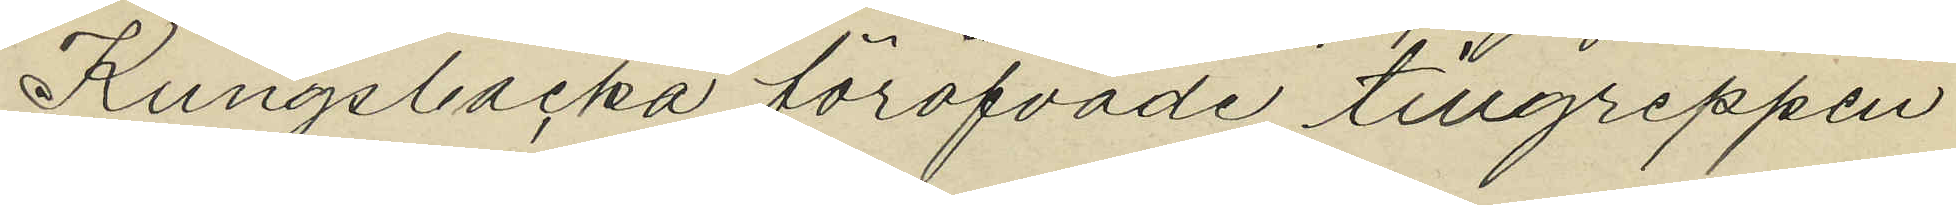Kungsbacka föröfvade tillgreppen
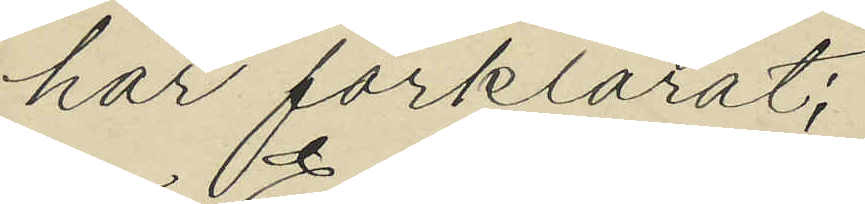har förklarat;
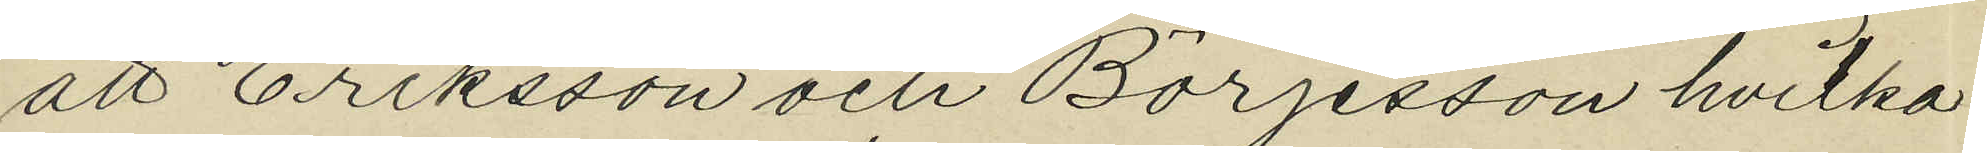att Eriksson och Börjesson hvilka
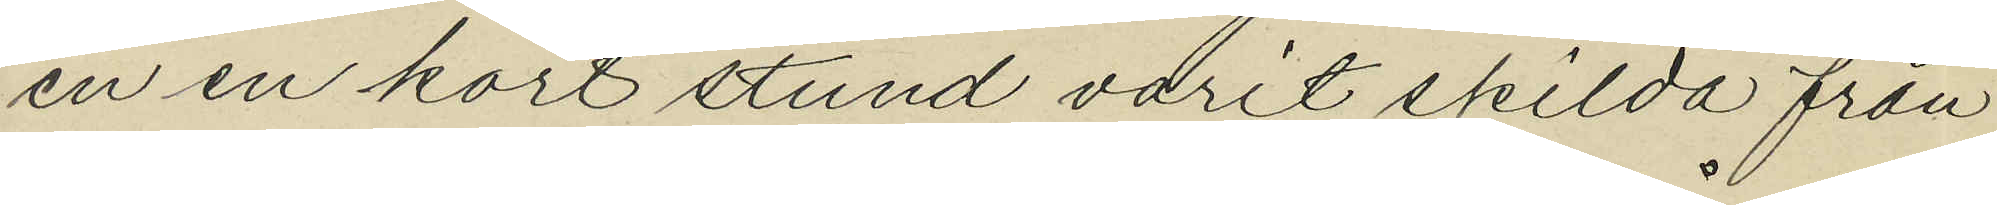en en kort stund varit skilda från
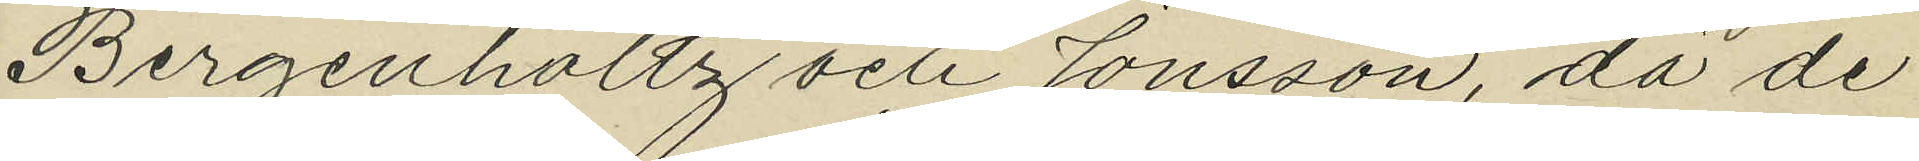Bergenholtz och Jonsson, då de
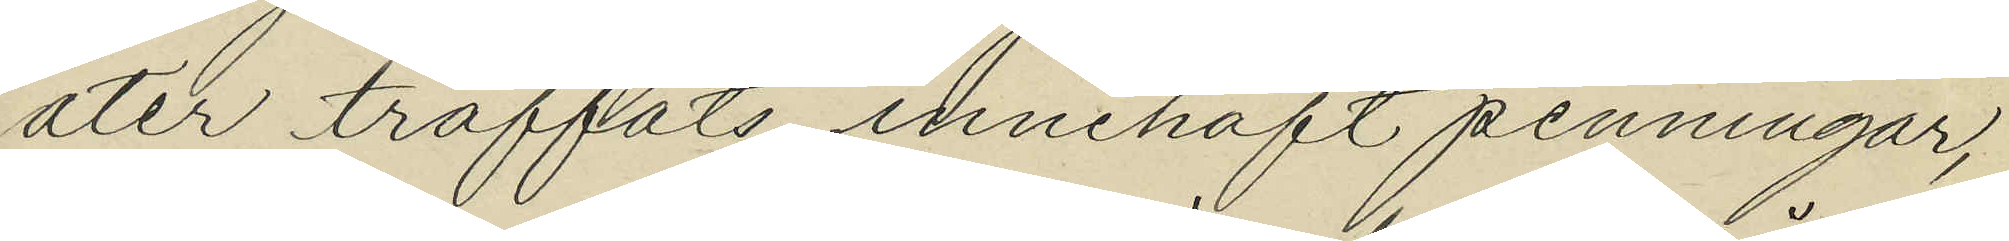åter träffats innehaft penningar,
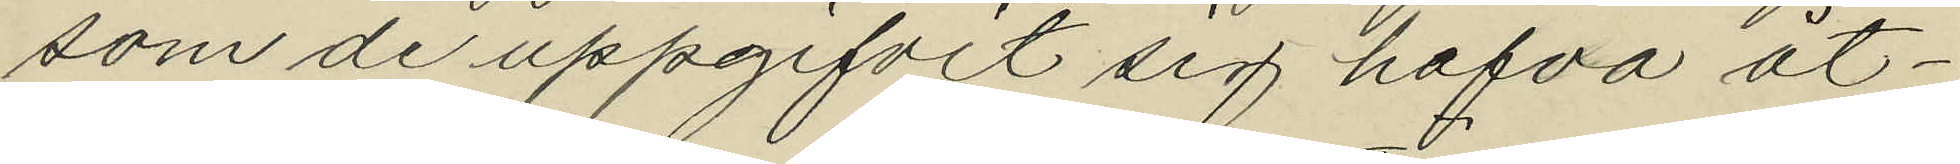som de uppgifvit sig hafva åt¬
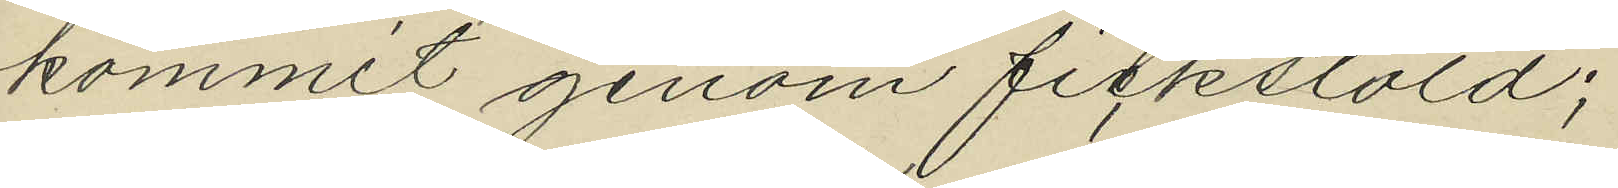kommit genom fickstöld;
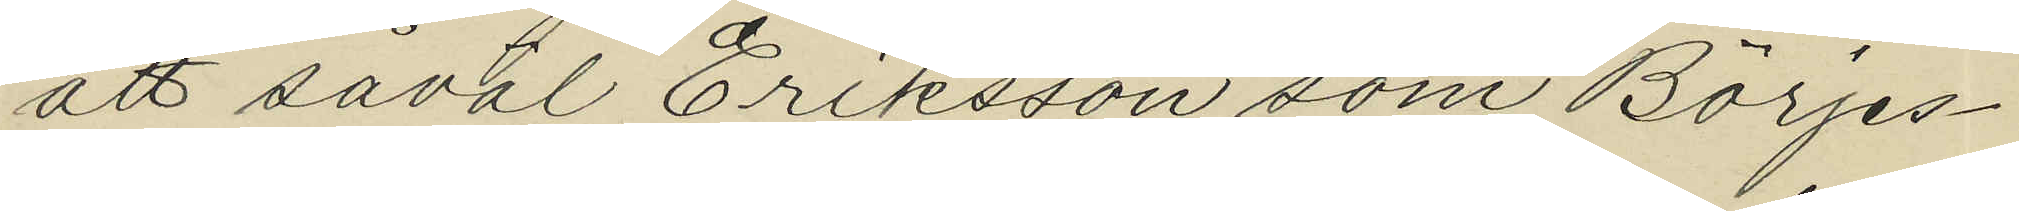att såväl Eriksson som Börjes¬
